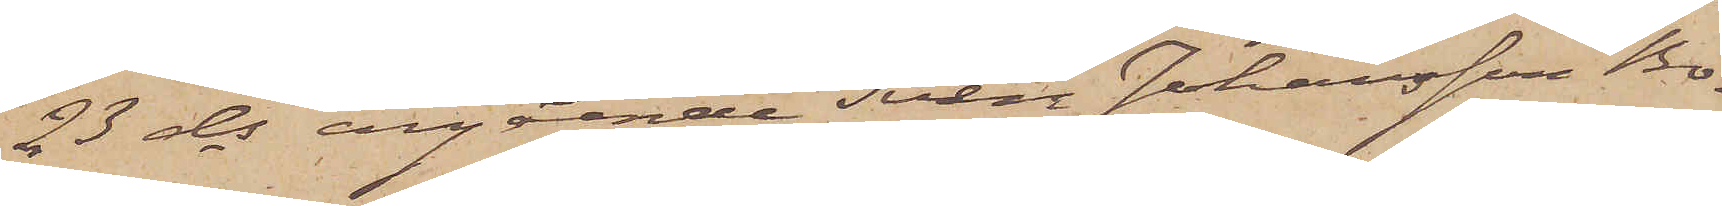23 ds angående Sven Johansson Bo¬
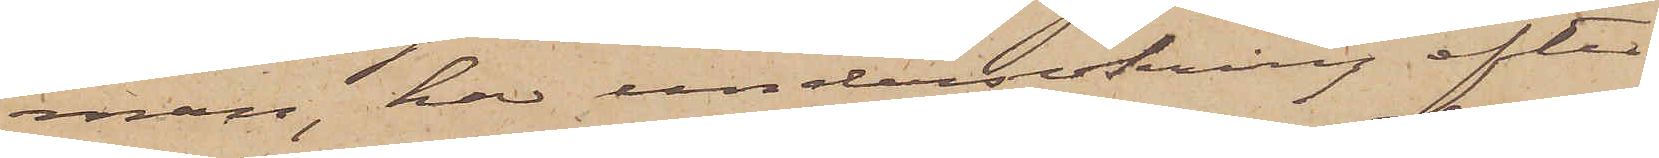man, har undersökning efter
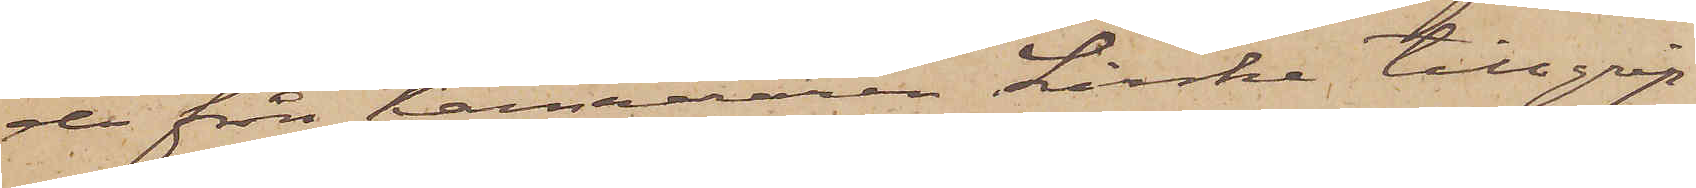de från Kamereraren Linke tillgrip¬
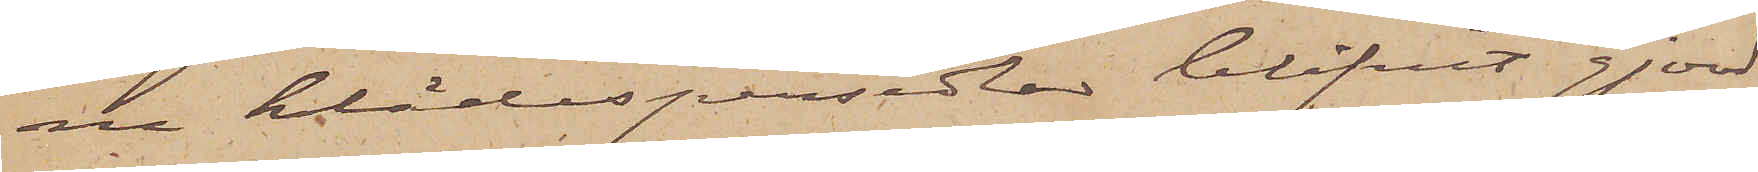ne klädespersedlar blifvit gjord
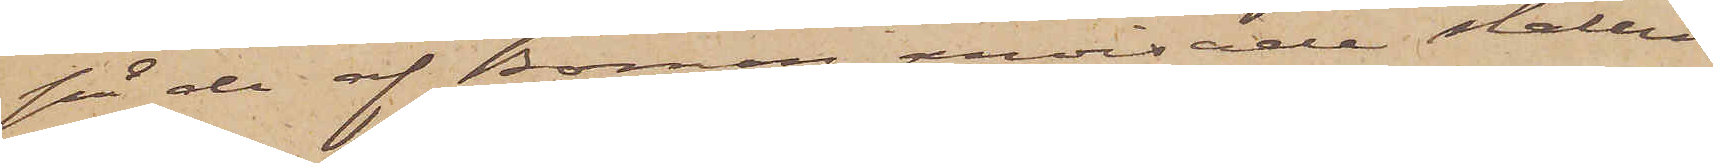på de af Boman anvisade ställen
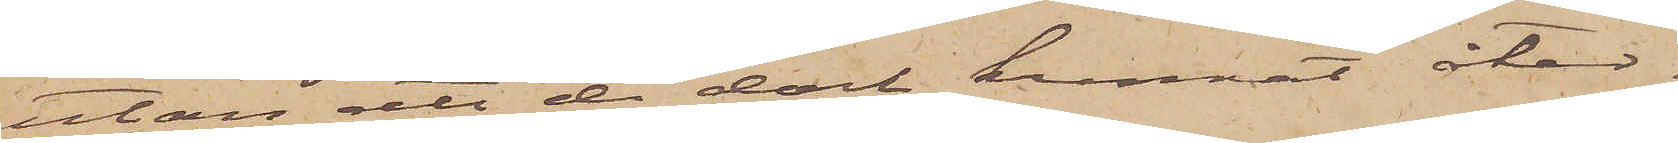utan att de dock kunnat åter¬
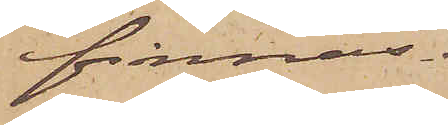finnas.
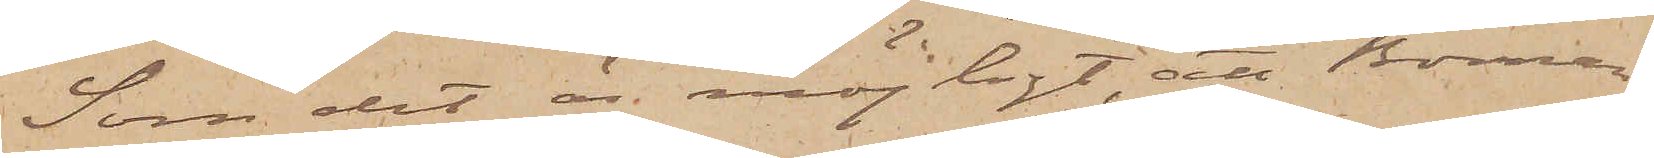Som det är möjligt, att Boman
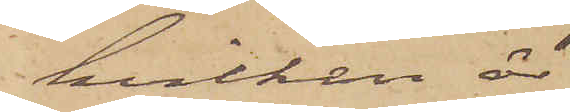hvilken är
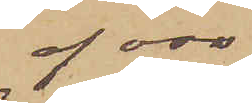af oss
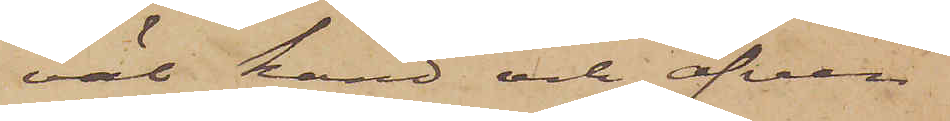väl känd och äfven
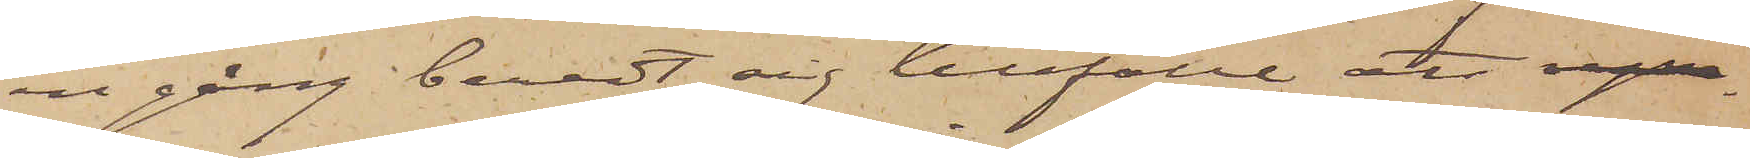en gång beredt sig tillfälle att 
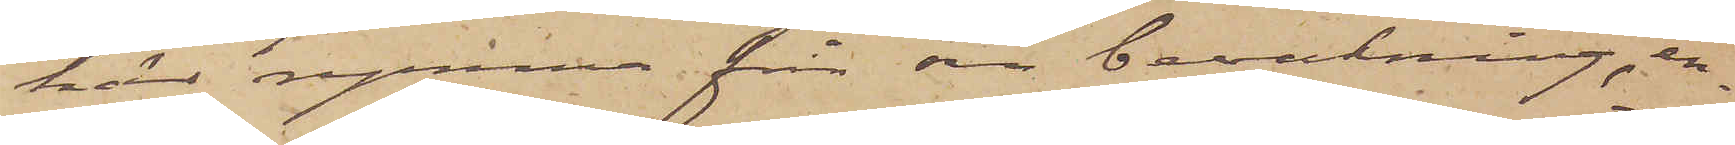här rymma från sin bevakning, en¬
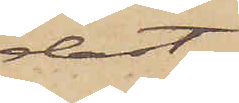dast
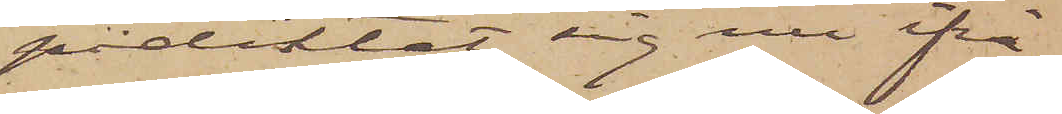pådiktat sig nu ifrå¬
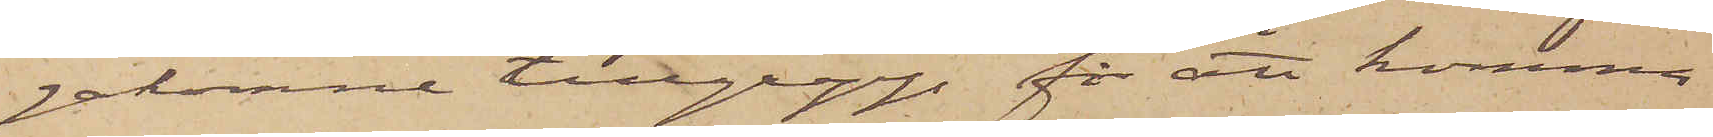gakomne tillgrepp för att komma
